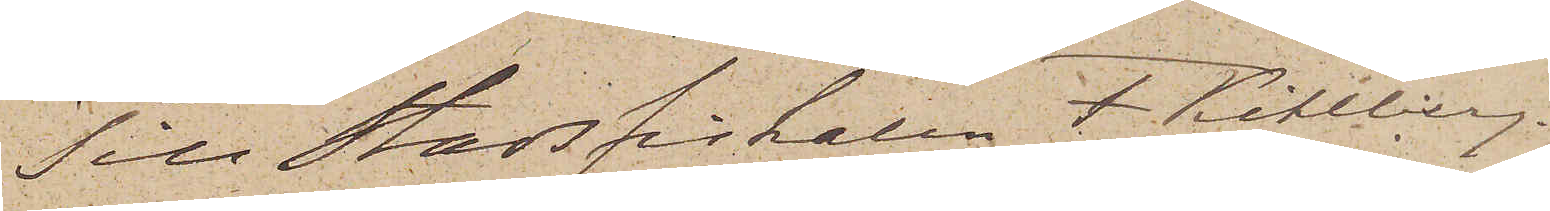Till Stadsfiskalen F. Kihlberg.
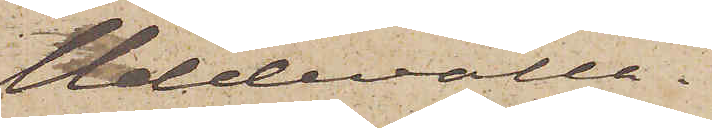Uddevalla.
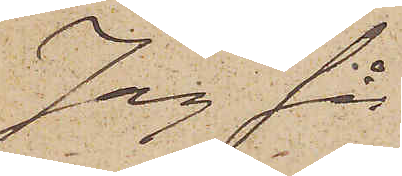Jag får
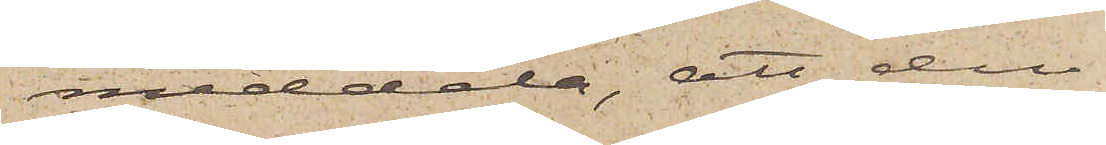meddela, att den
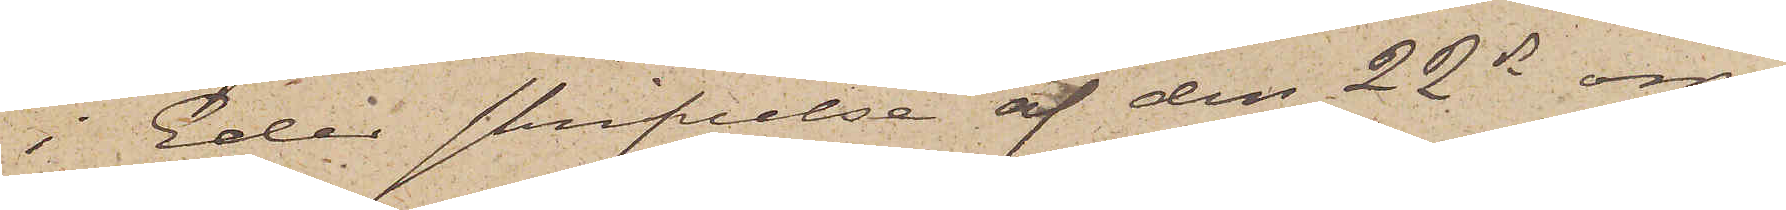i Eder skrifvelse af den 22 ds om¬
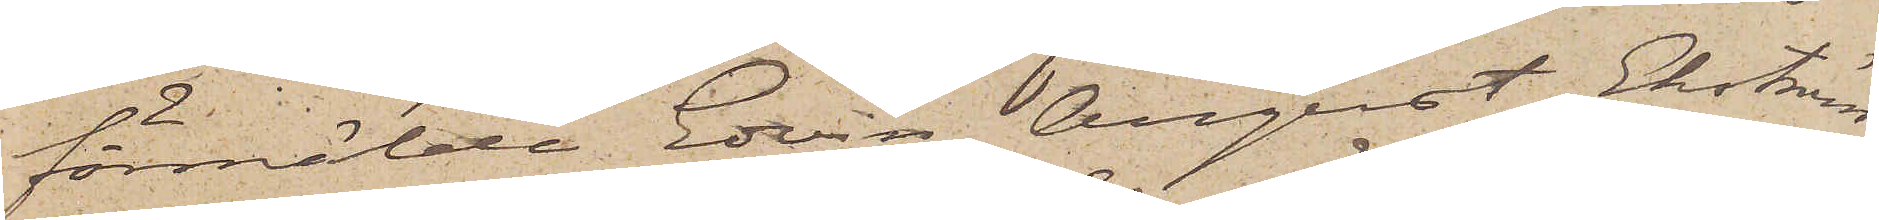förmälda Edvin August Ekström,
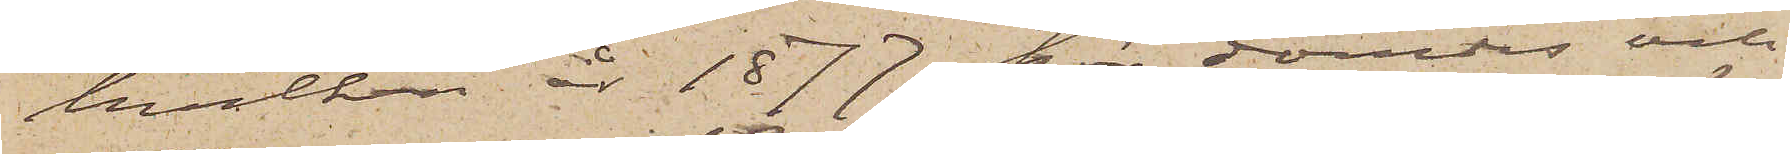hvilken år 1877 här dömdes och
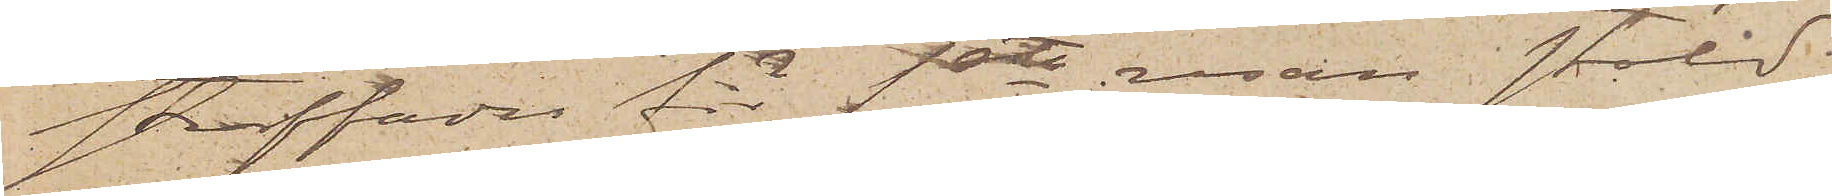straffades för 1sta resan stöld;
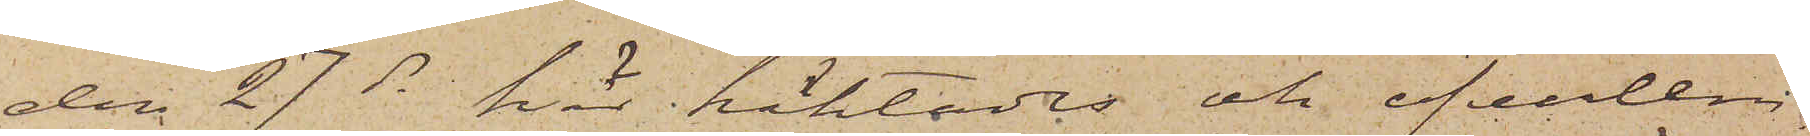den 27 ds här häktades och öfverlem¬
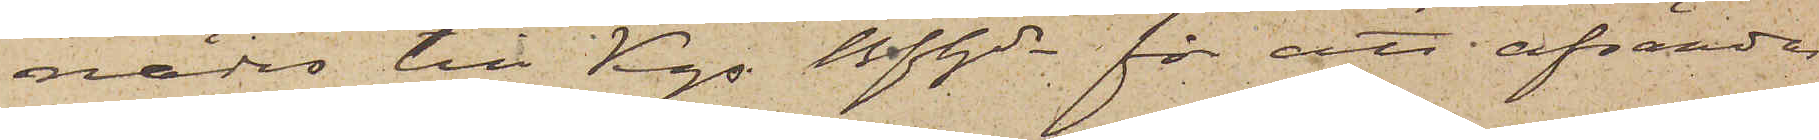nades till Kgs Bfhde för att afsändas
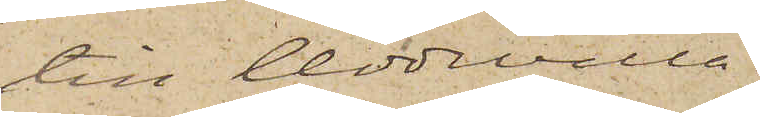till Uddevalla.
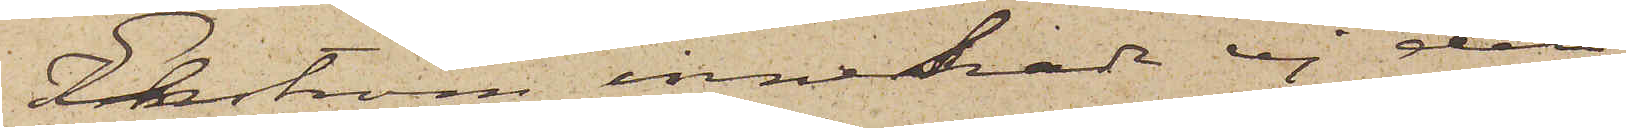Ekström innehade ej den
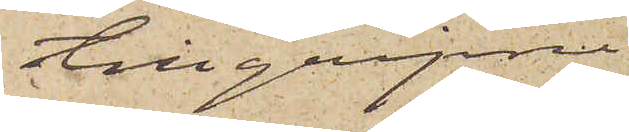tillgripne
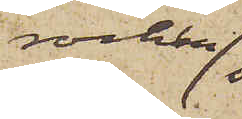rocken
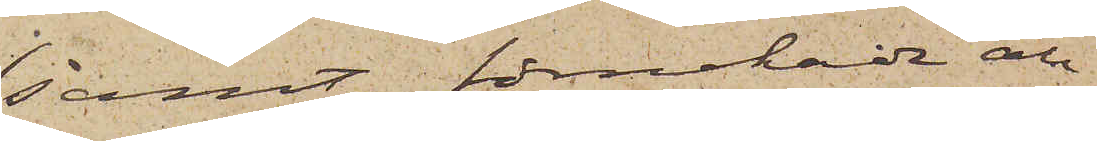samt förnekade all
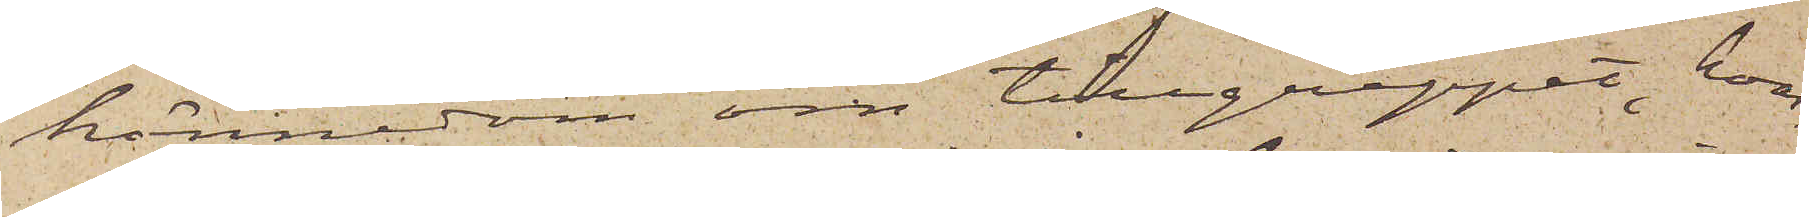kännedom om tillgreppet, hvar¬
